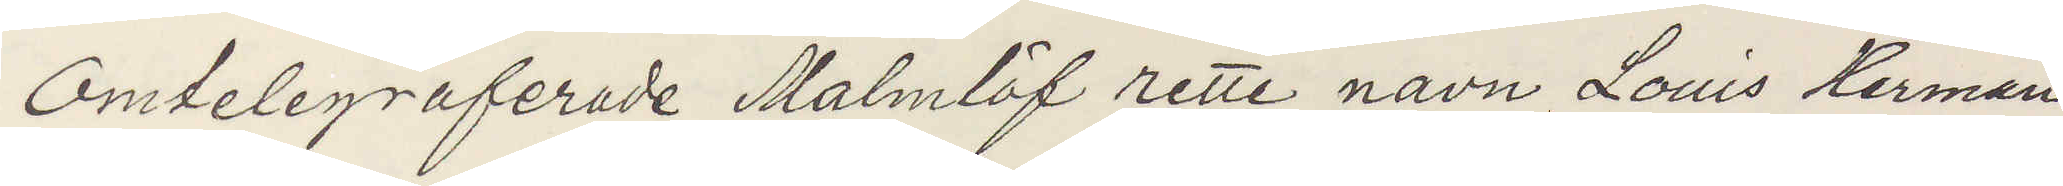Omtelegraferade Malmlöf rette navn Louis Herman
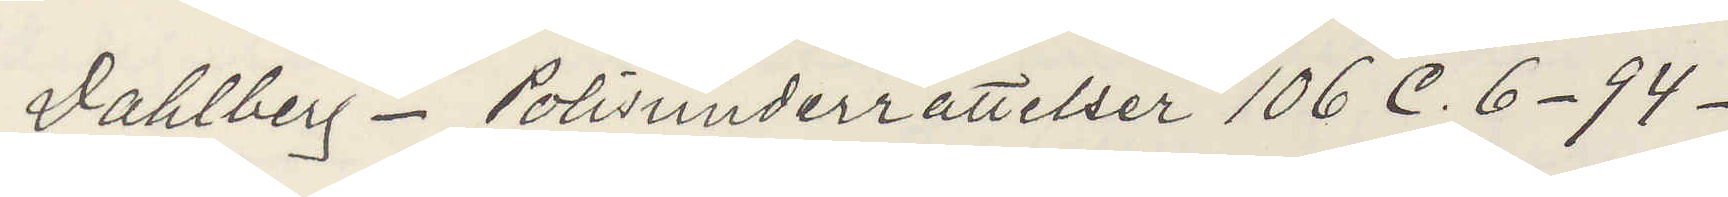Dahlberg Polisunderrättelser 106 C.6 94
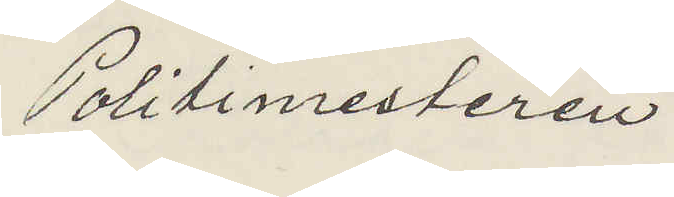Politimesteren.
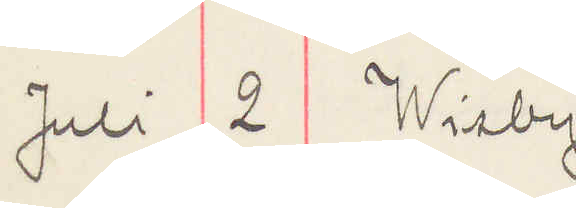Juli 2 Wisby.
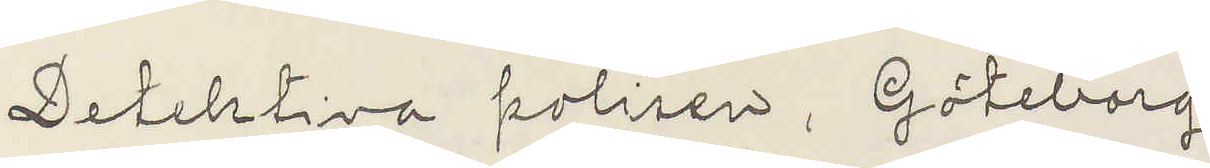Detektiva polisen, Göteborg
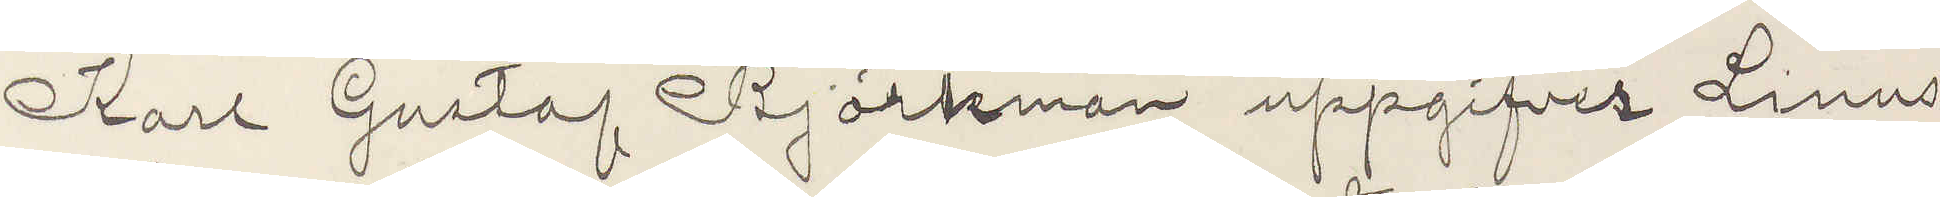Karl Gustaf Björkman uppgifver Linus
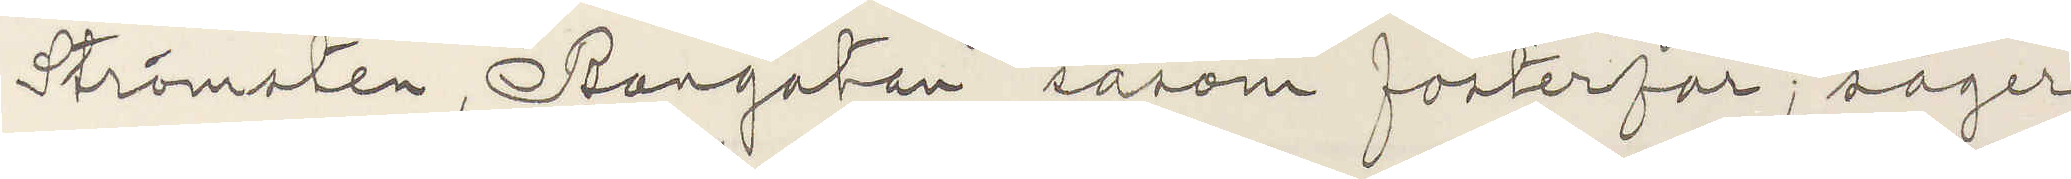Strömsten, Bangatan såsom fosterfar säger
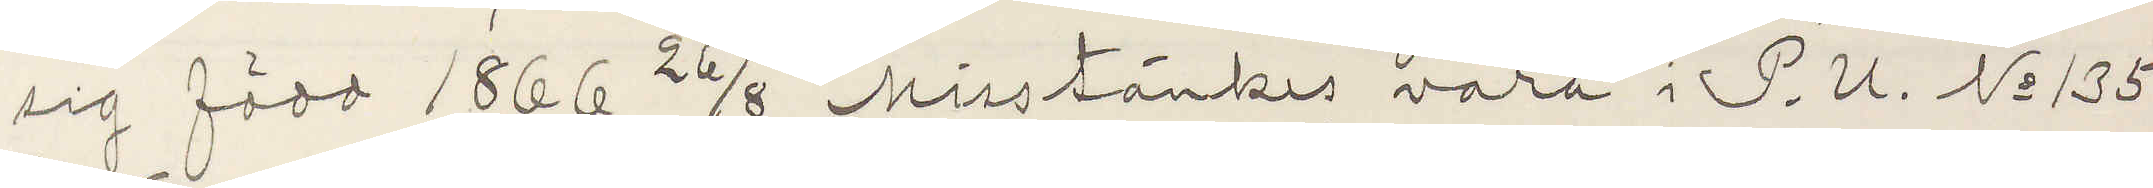sig född 1866 26/8 Misstänkes vara i P. U. No 135
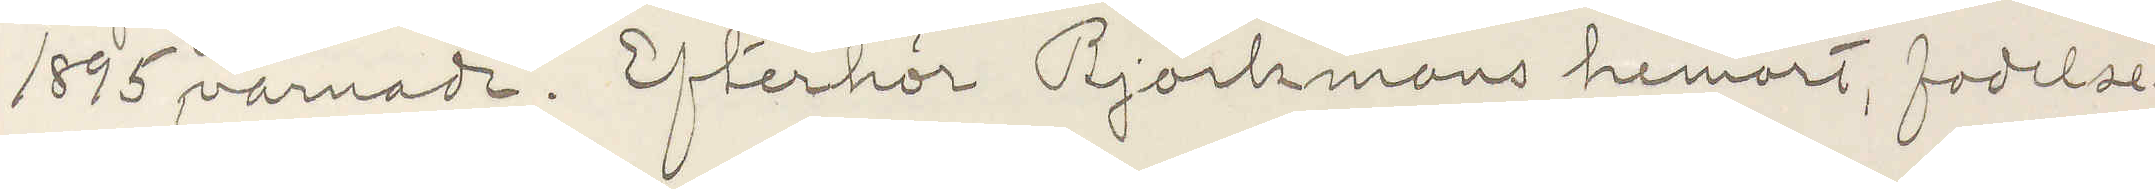1895 varnade. Efterhör Björkmans hemort, fodelse¬
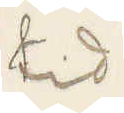tid
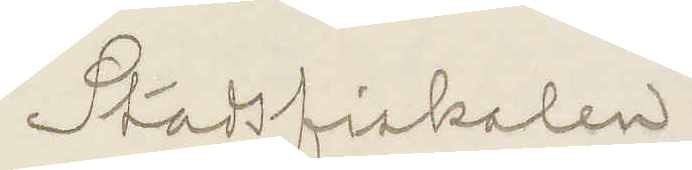Stadsfiskalen
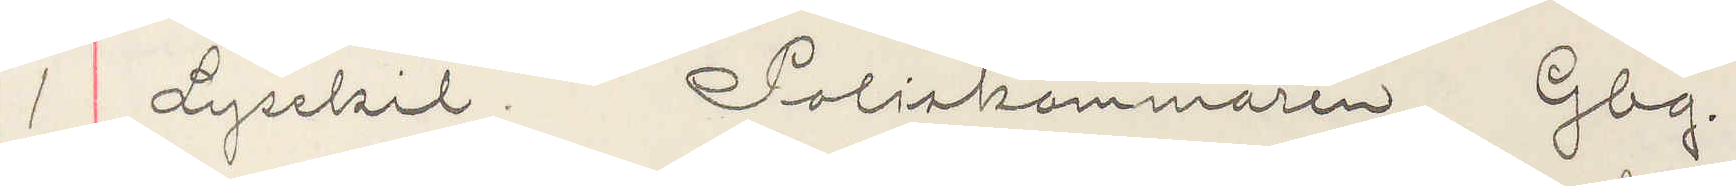1 Lysekil. Poliskammaren Gbg.
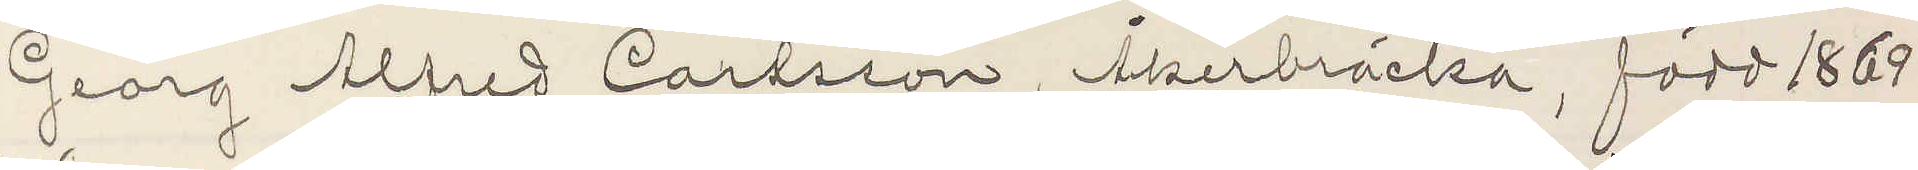Georg Alfred Carlsson, Åkerbräcka, född 1869
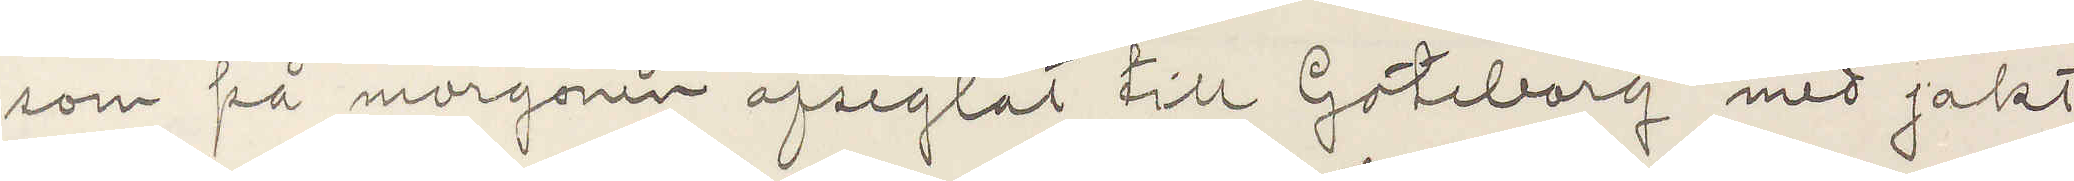som på morgonen afseglat till Göteborg med jakt
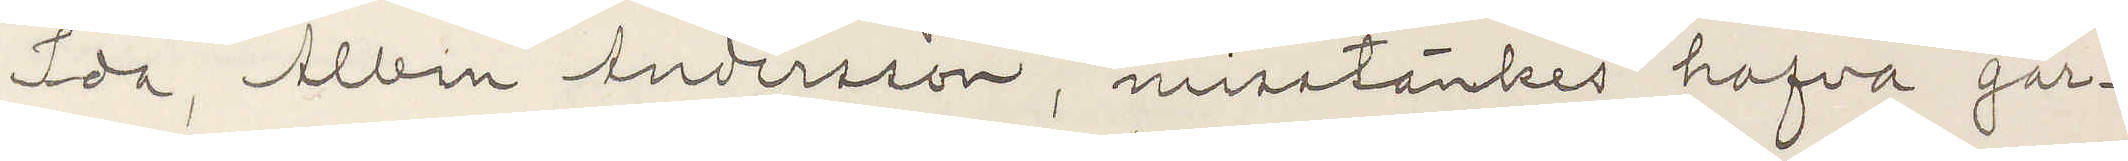Ida, Albin Andersson, misstänkes hafva går¬
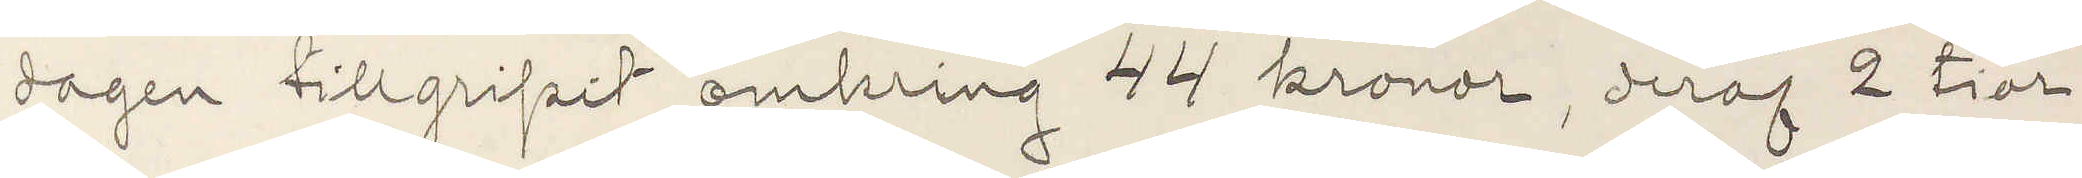dagen tillgripit omkring 44 kronor, deraf 2 tior
